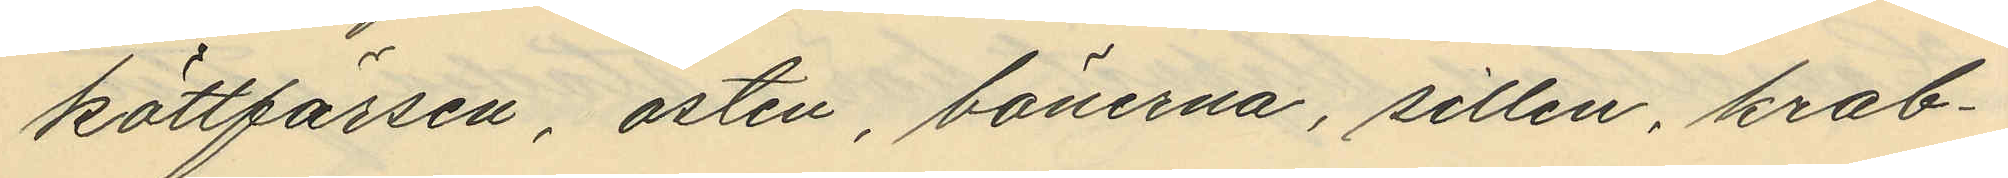köttfärsen, osten, bönerna, sillen, krab¬
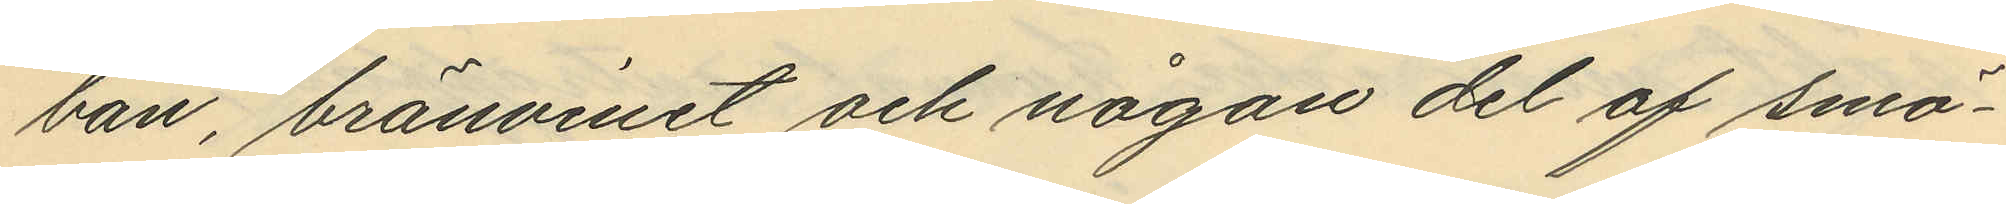ban, bränvinet och någon del af smö¬
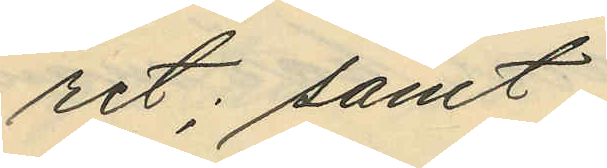ret; samt
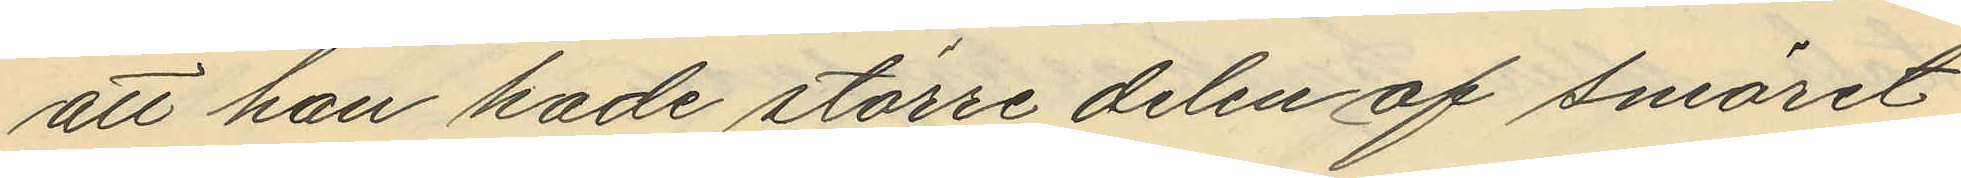att han hade större delen af smöret
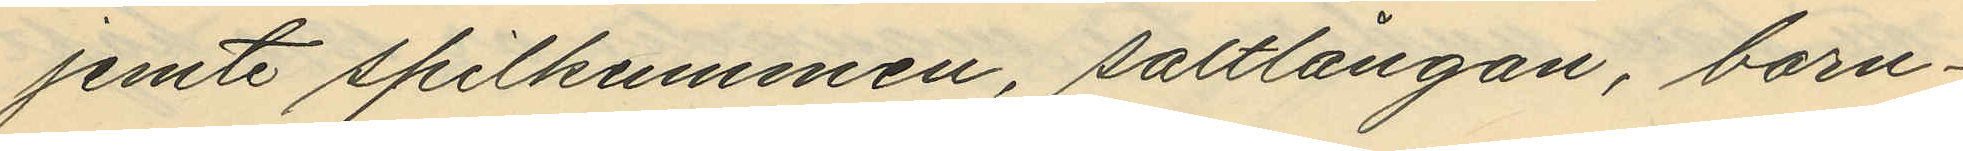jemte spilkummen, saltlångan, barn¬
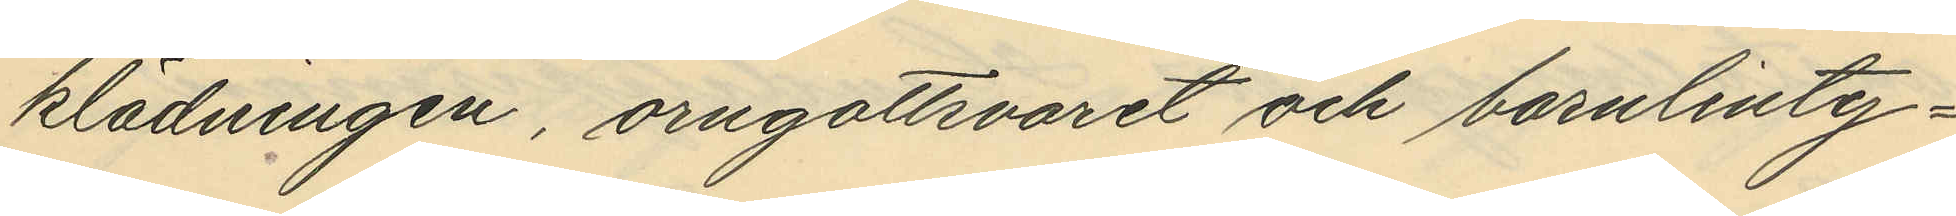klädningen, örngottsvaret och barnlinty¬
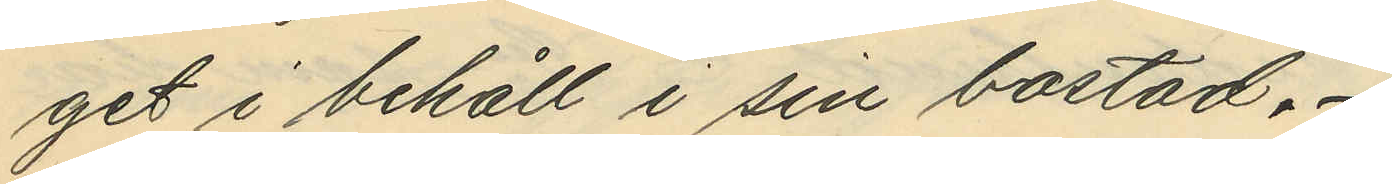get i behåll i sin bostad.
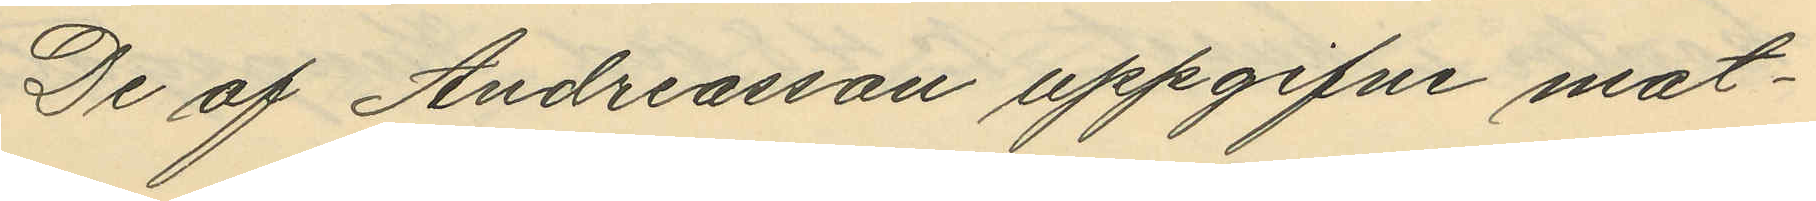De af Andreasson uppgifne mat¬
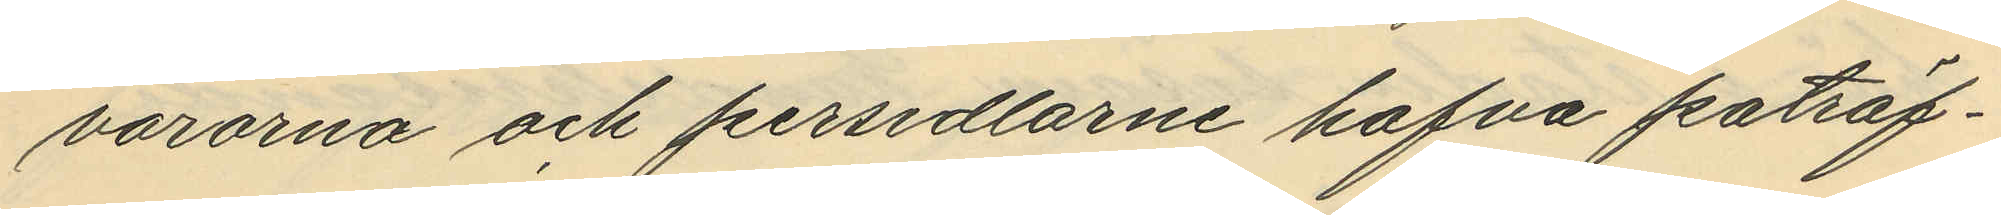varorna och persedlarne hafva påträf¬
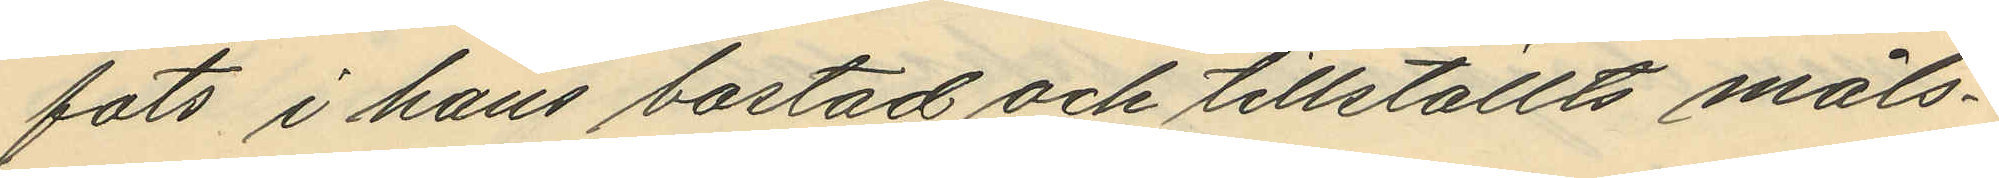fats i hans bostad och tillställts måls¬
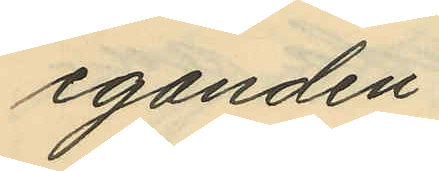eganden.
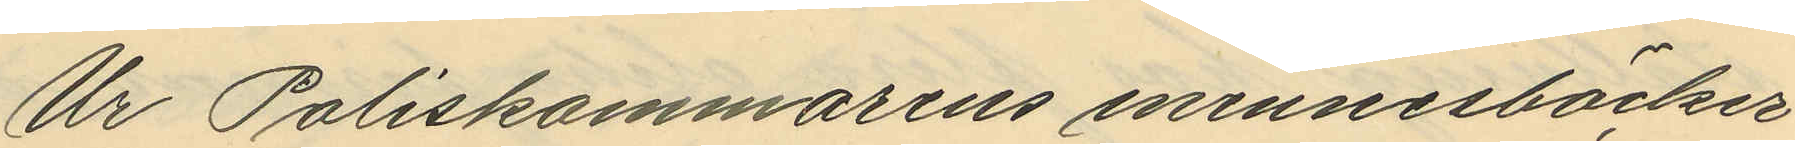Ur Poliskammarens minnesböcker
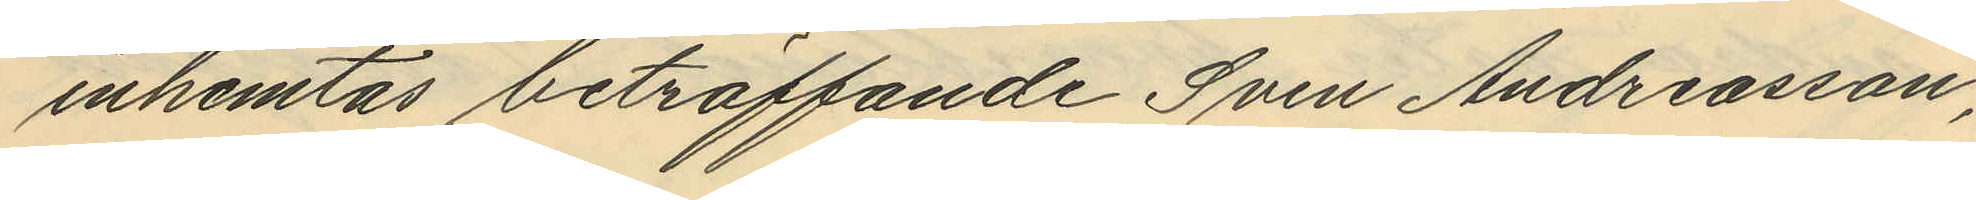inhemtas beträffande Sven Andreasson,
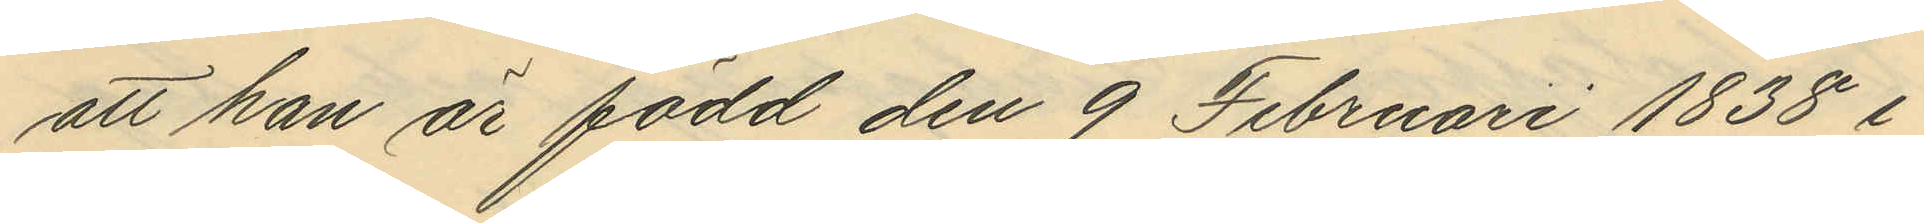att han är född den 9 Februari 1838 i
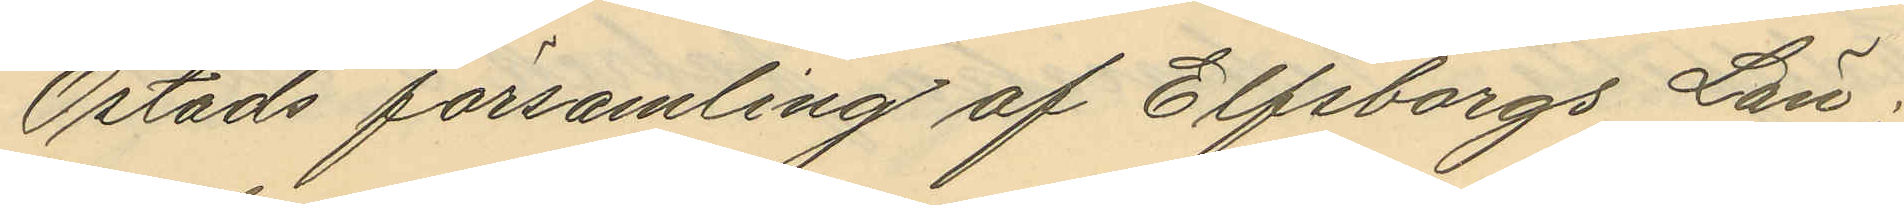Östads församling af Elfsborgs Län¬
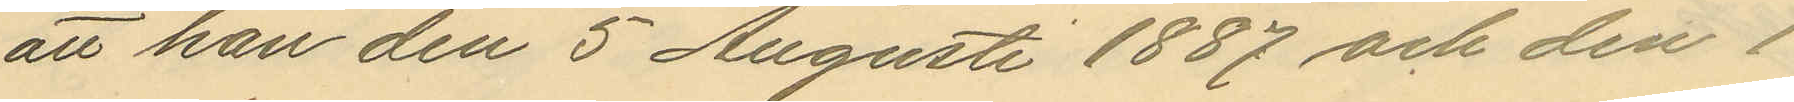att han den 5 Augusti 1887 och den 1
